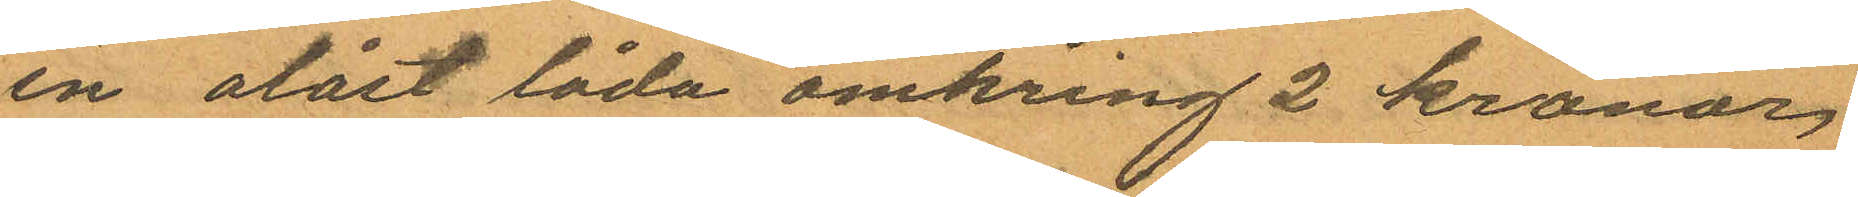en olåst låda omkring 2 kronor
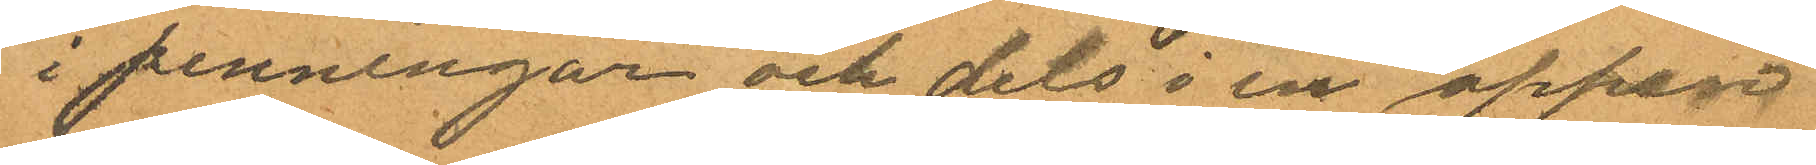i penningar och dels i en öppen
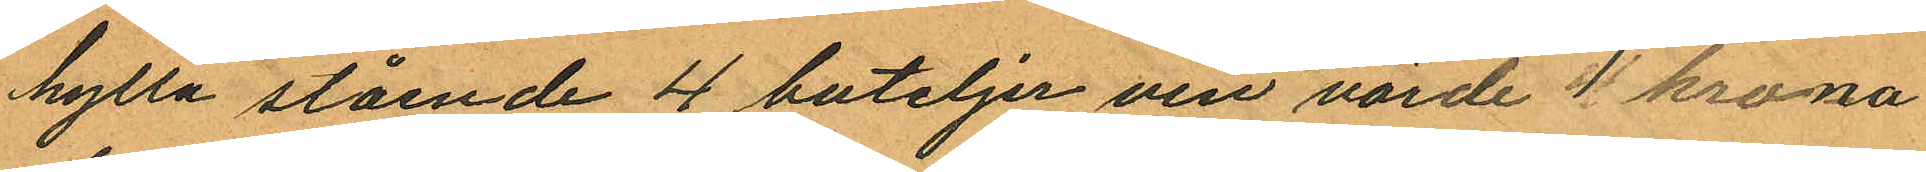hylla stående 4 buteljer vin värde 1 krona
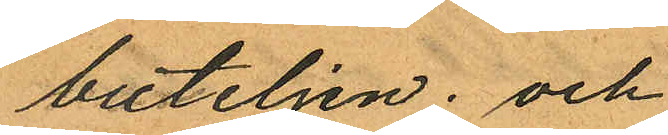buteljen; och
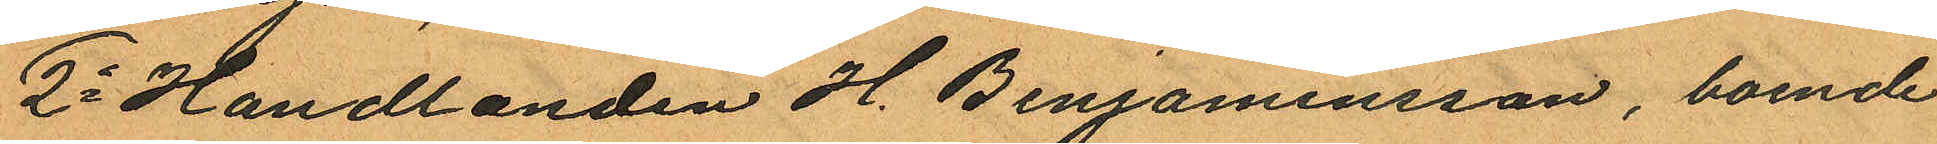2o Handlanden H. Benjaminsson, boende
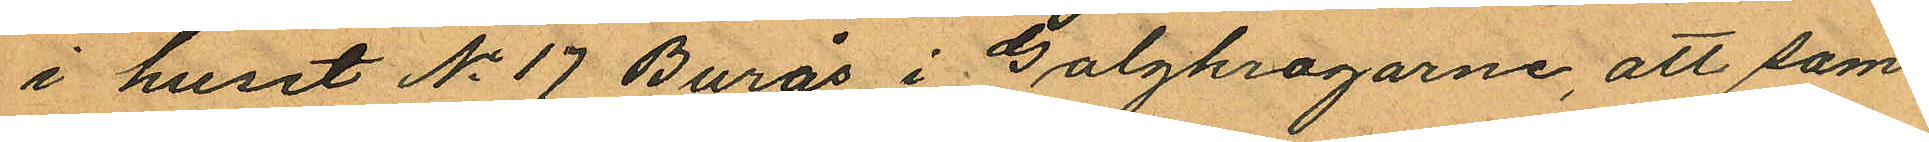i huset No 17 Burås i Galgkrogarne, att sam¬
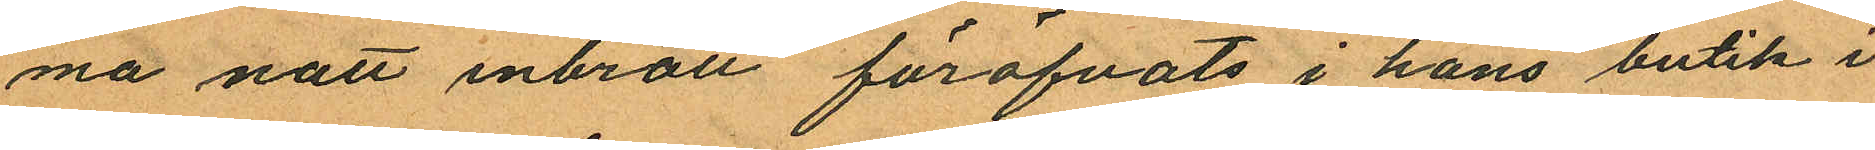ma natt inbrott föröfvats i hans butik i
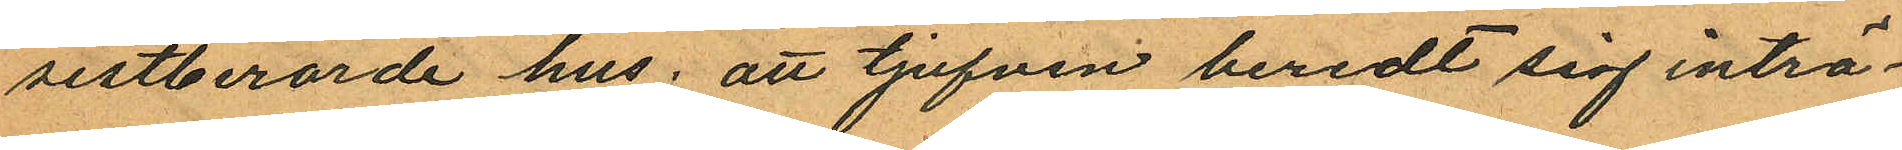sistberörde hus; att tjufven beredt sig inträ¬
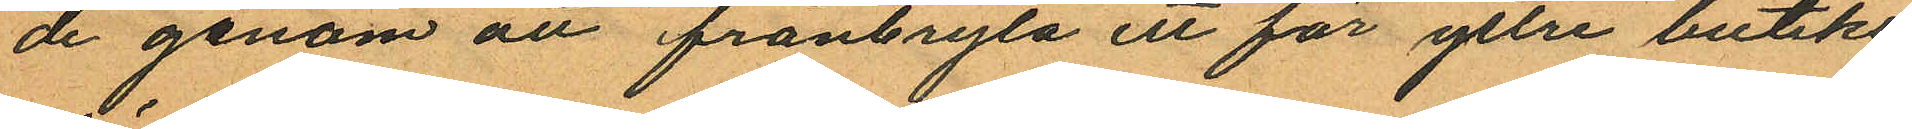de genom att frånbryta ett för yttre butiks¬
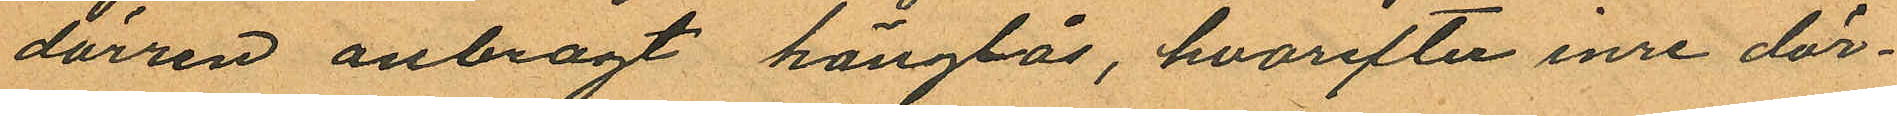dörren anbragt hänglås, hvarefter inre dör¬
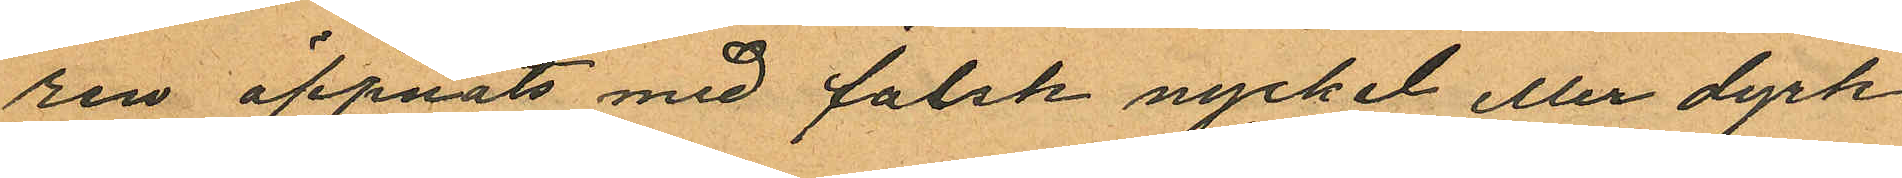ren öppnats med falsk nyckel eller dyrk
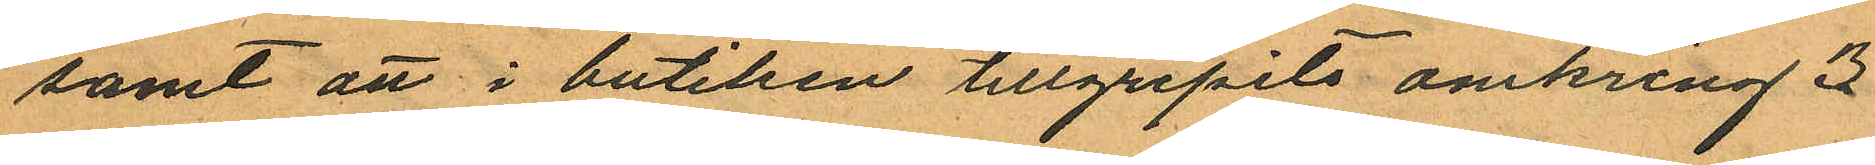samt att i butiken tillgripits omkring 3
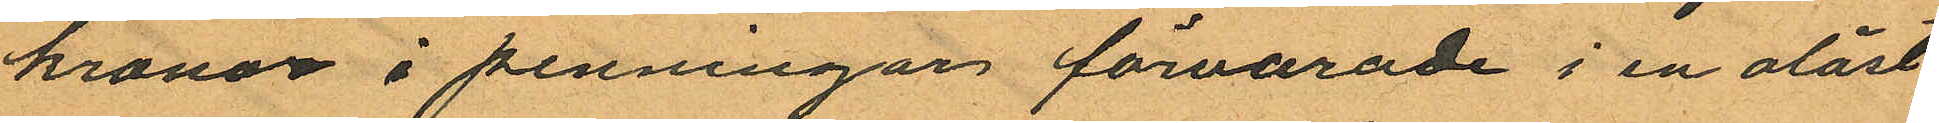kronor i penningar förvarade i en olåst
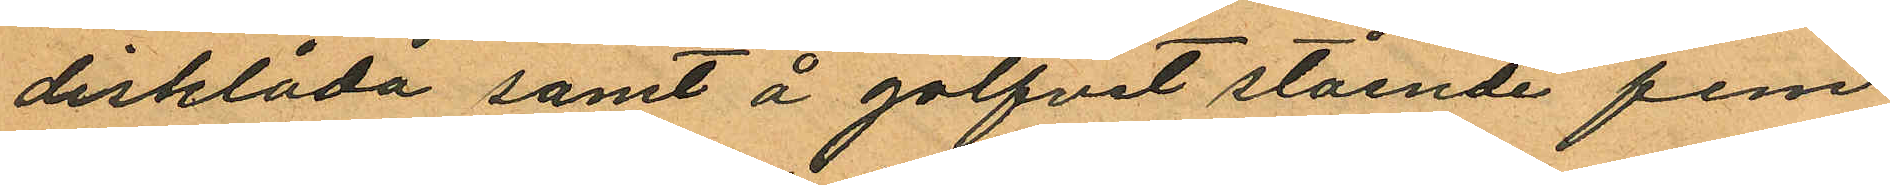disklåda samt å golfvet stående fem
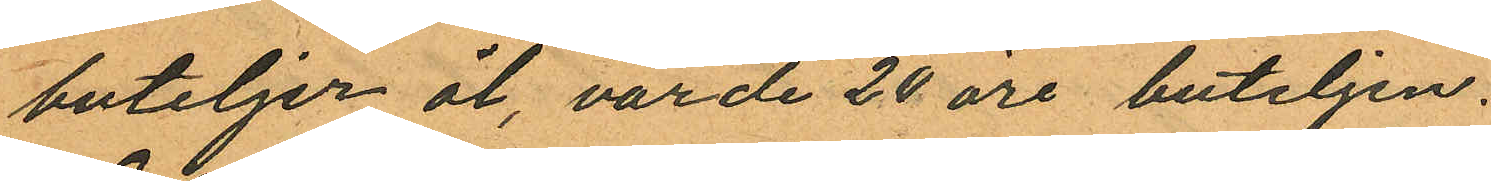buteljer öl, värde 20 öre buteljen.
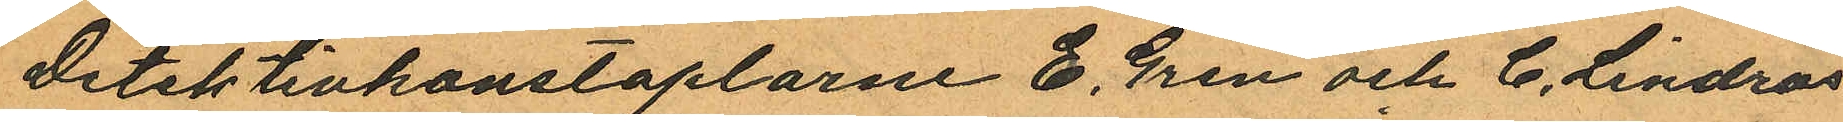Detektivkonstaplarne E. Gren och C. Lindros
